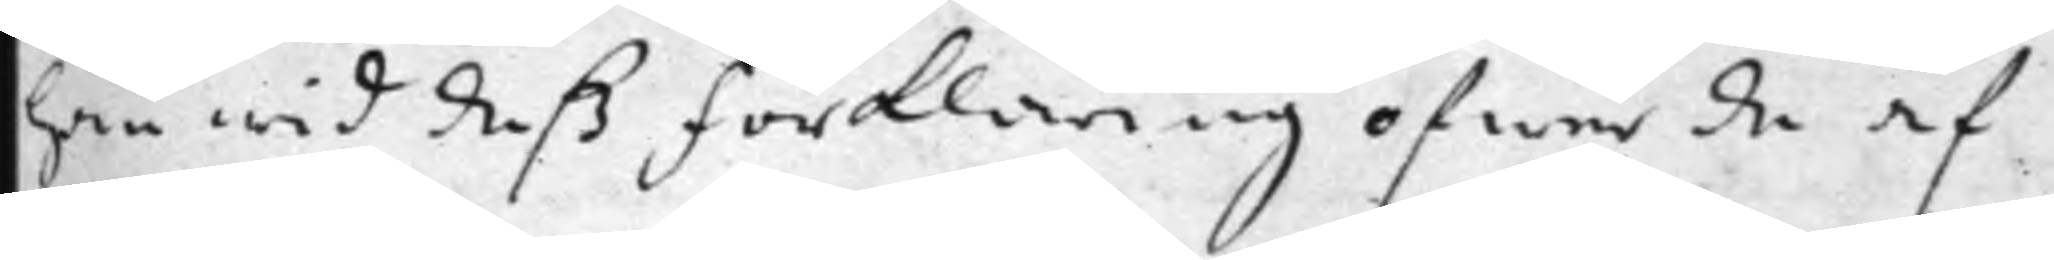han wid deَß Förklaring öfwer de af
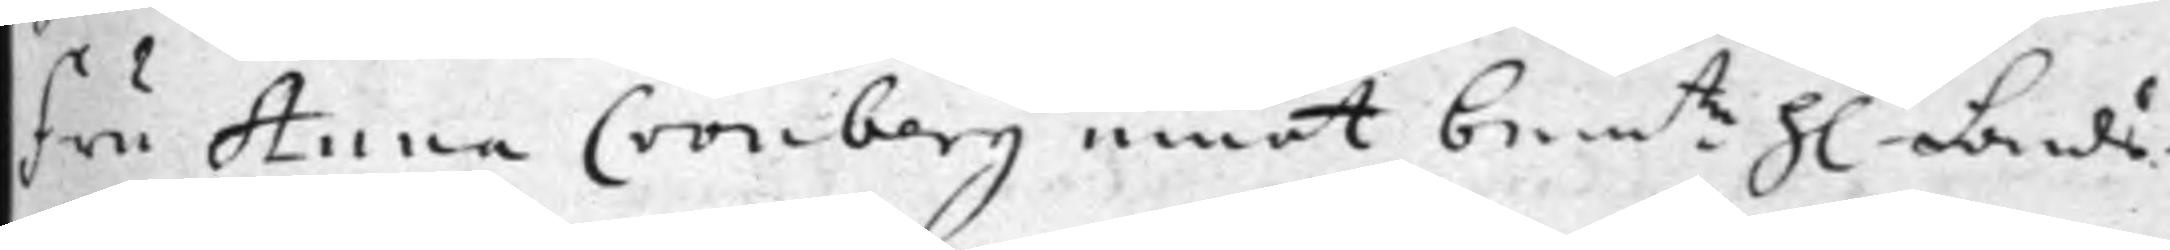Fru Anna Cronberg emot bem:te h: Lands¬
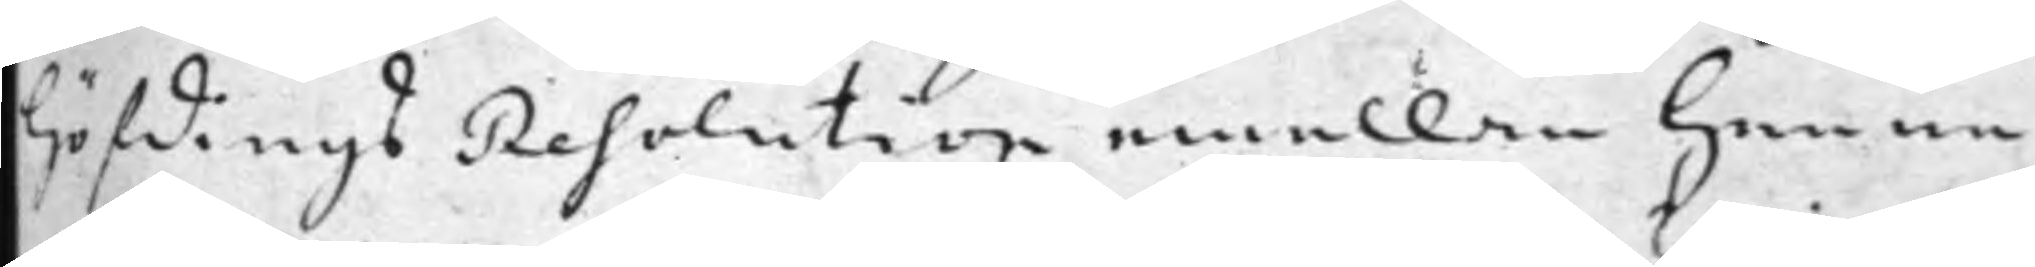höfdings Resolution emellan henne
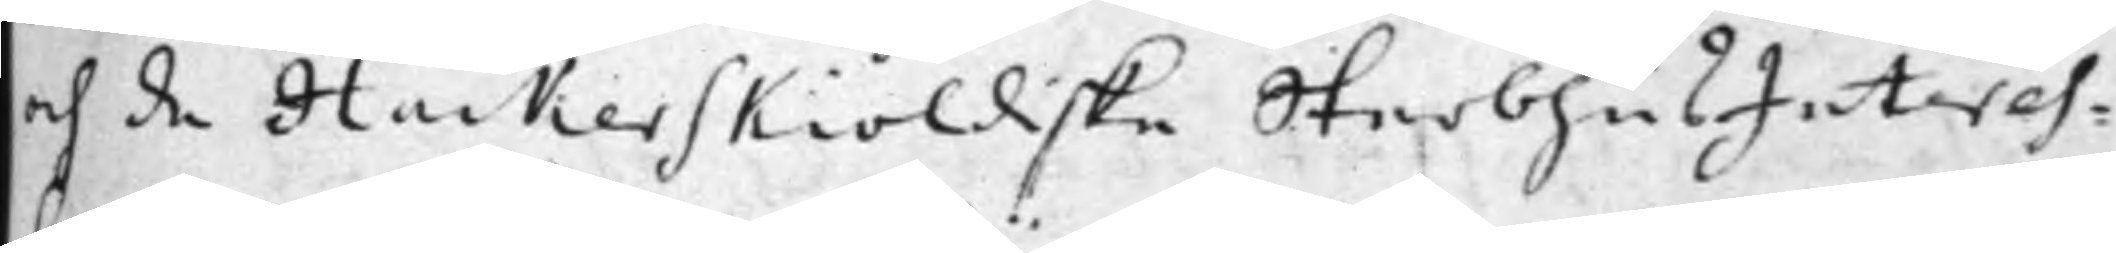och de Hackerskiöldiske SterbhusInteres¬
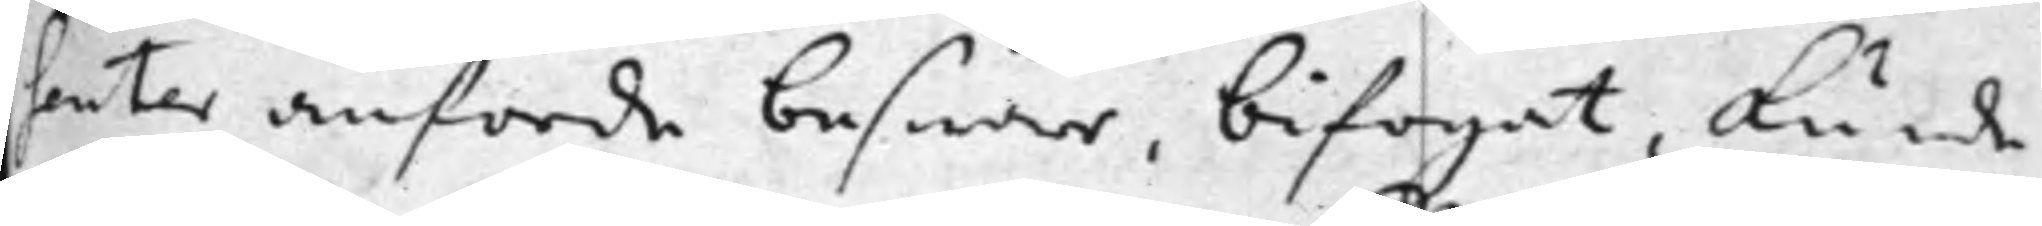senter anförde beswär, bifogat, kunde
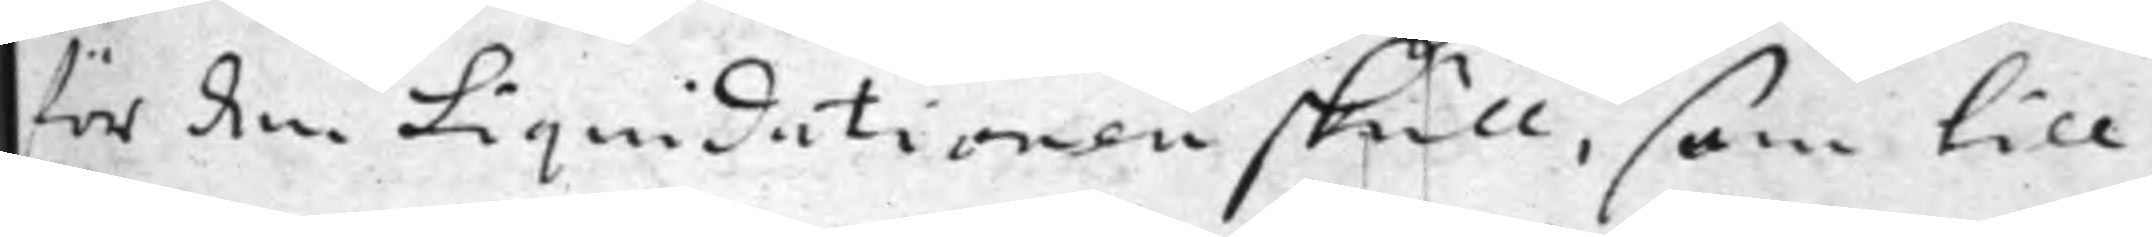för den Liquidationen skull, som till
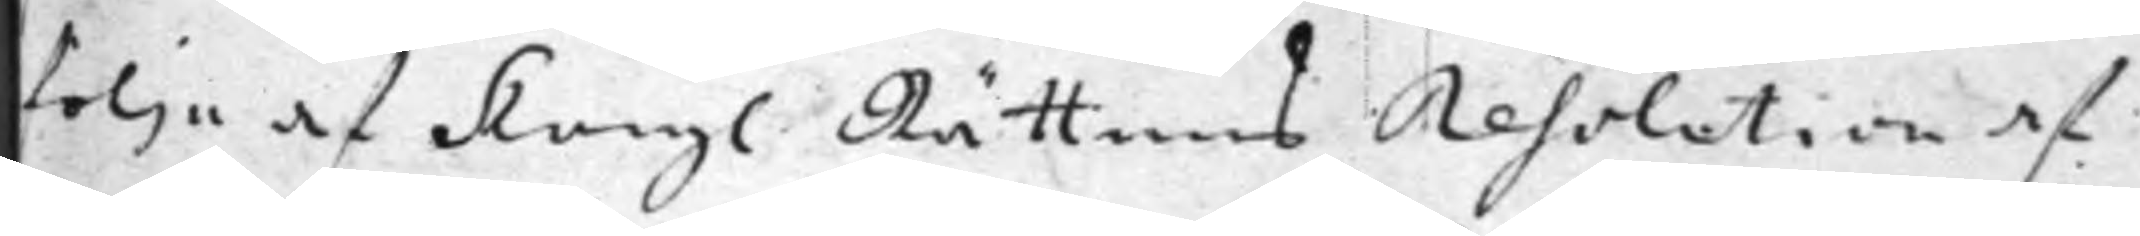följe af Kongl. Rättens Resolution af
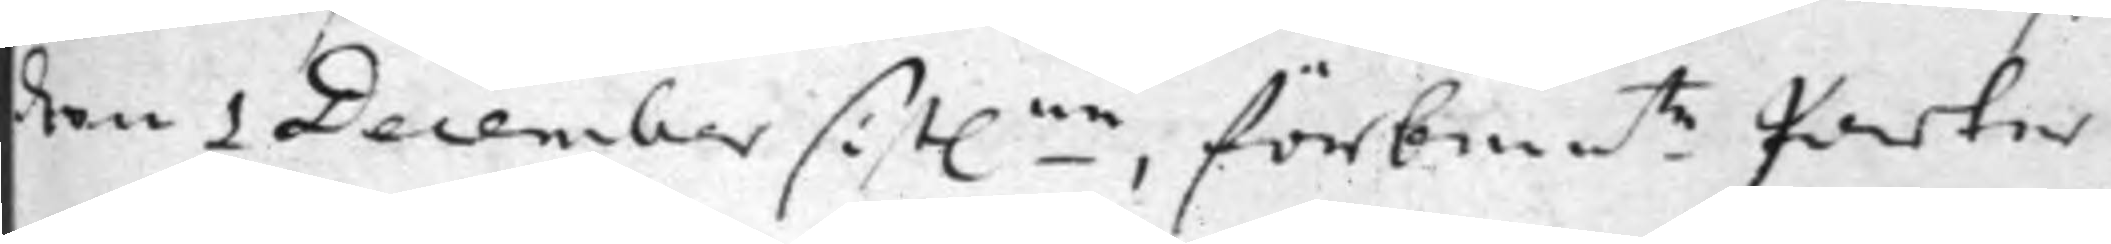den 1 December sist.ne, förbem.te Parter
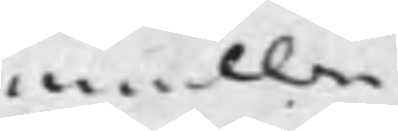emellan
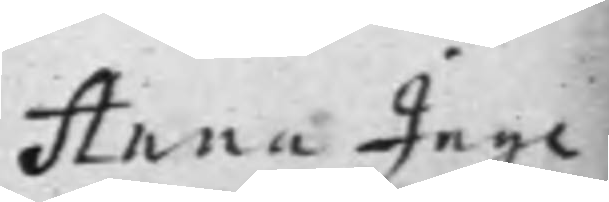Anna Inge¬
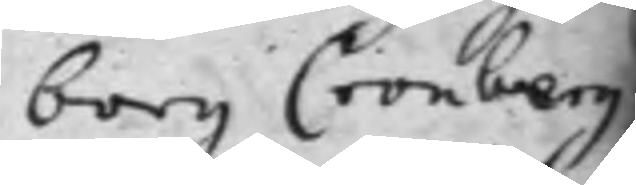borg Cronberg
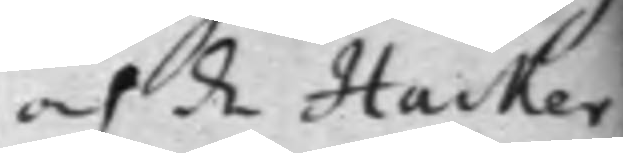och de Hacker¬
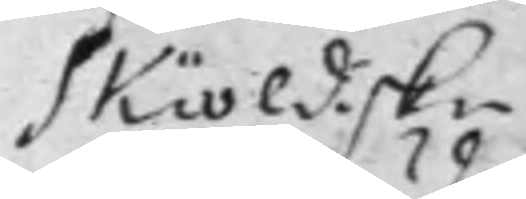skiöldiske
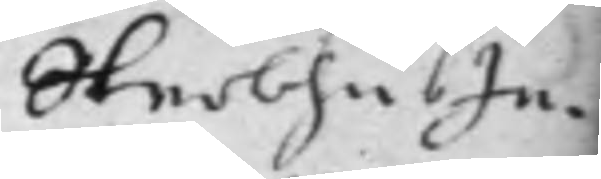SterbhusIn
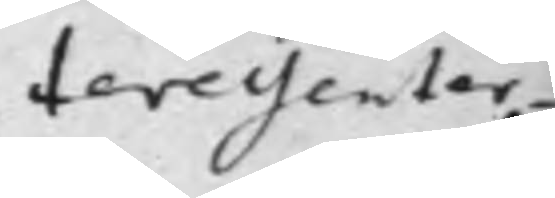teressenter¬
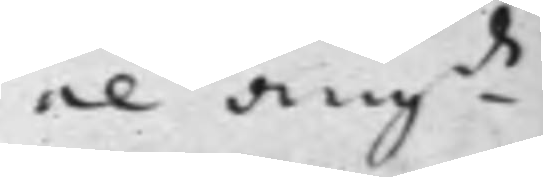ne ang.de
